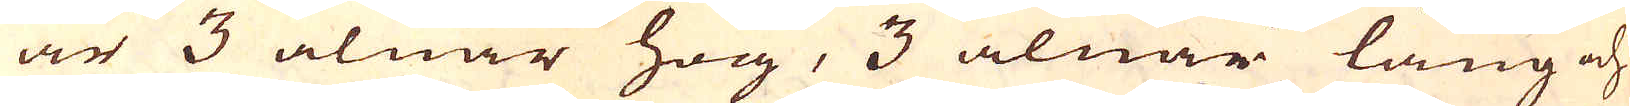är 3 alnar hög, 3 alnar lång och
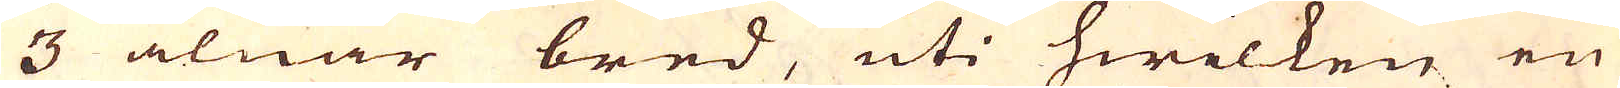3 alnar bred, uti hwilken en
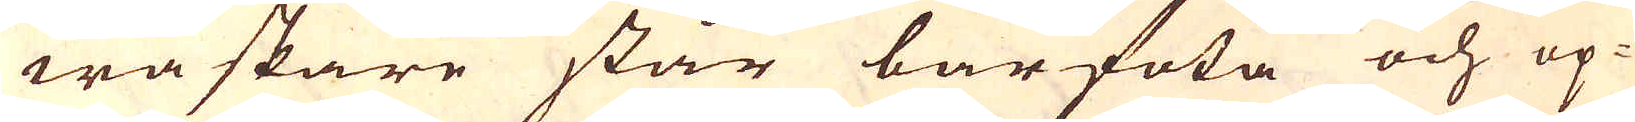waskare står barfota och op-
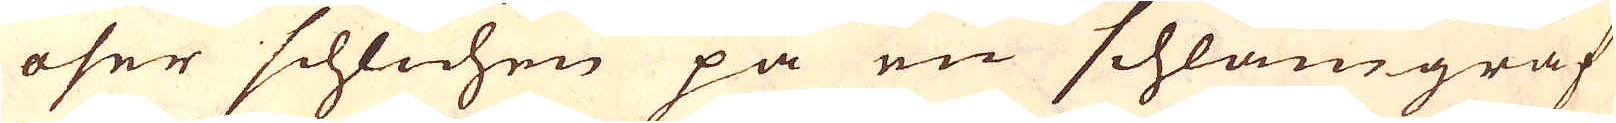öser schlichen på en schlam-graf
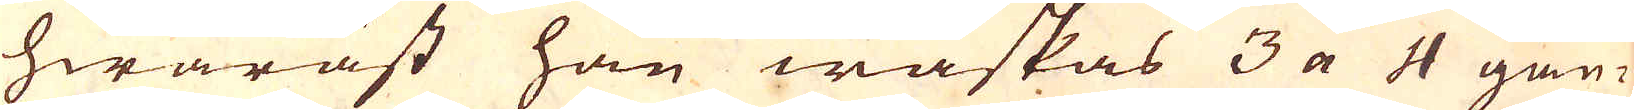hwaräst han waskas 3 a 4 gån-
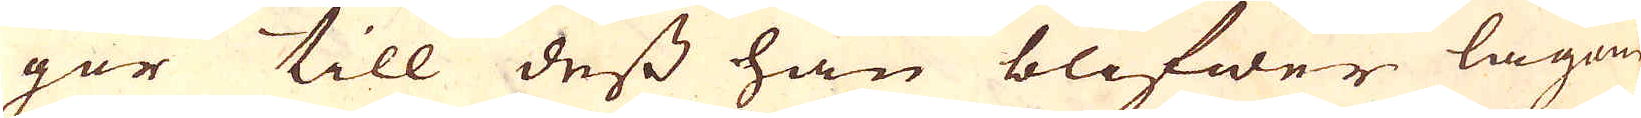ger till dess han blifwer lagom
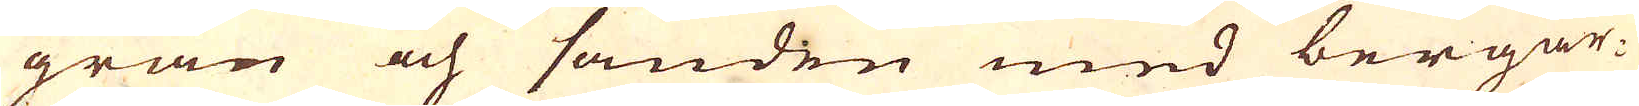gran och sanden med bergar-
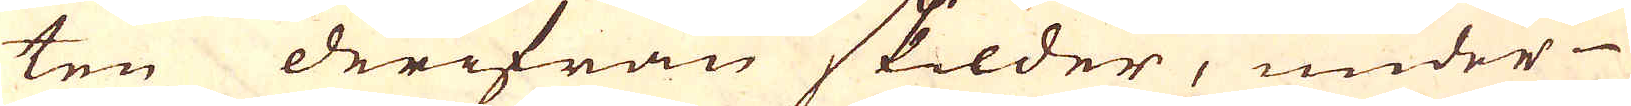ten derifrån skilder, under
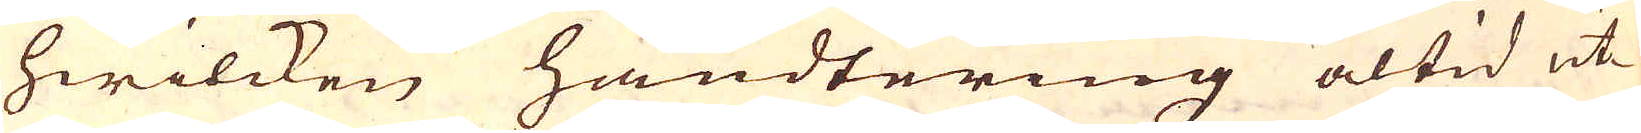hwilcken handtering altid uti
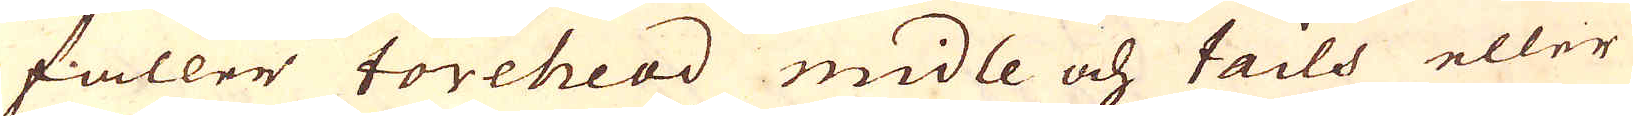faller forehead midle och tails eller
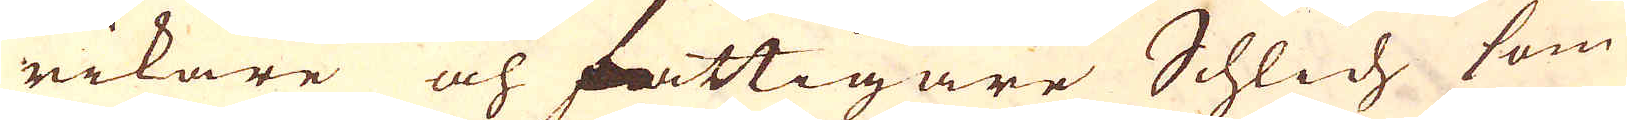rikare och fattigare Schlich som
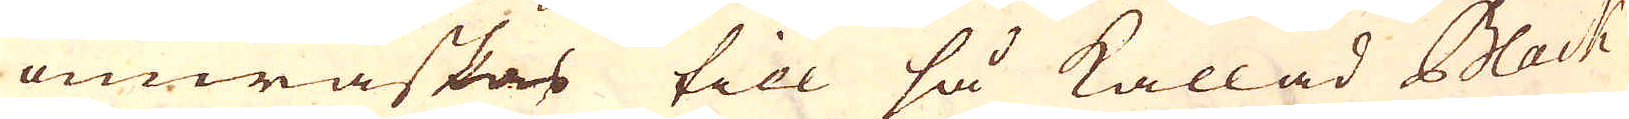omwaskas till så kallad Black
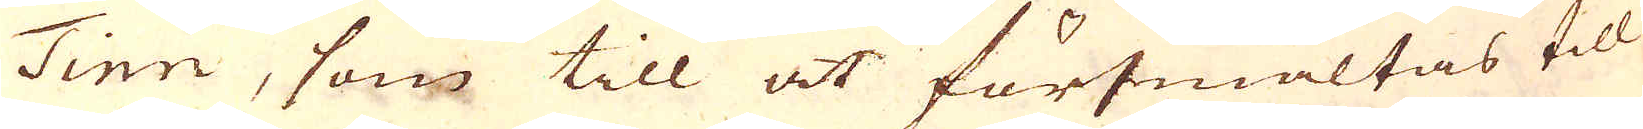Tinn, som till at försmältas till
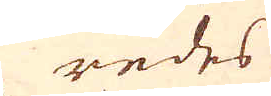redes
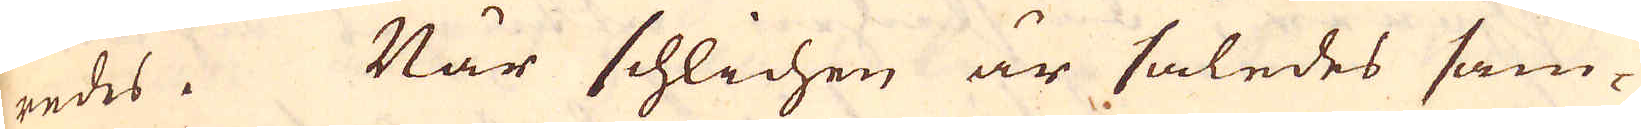redes. När schlichen är således sam-
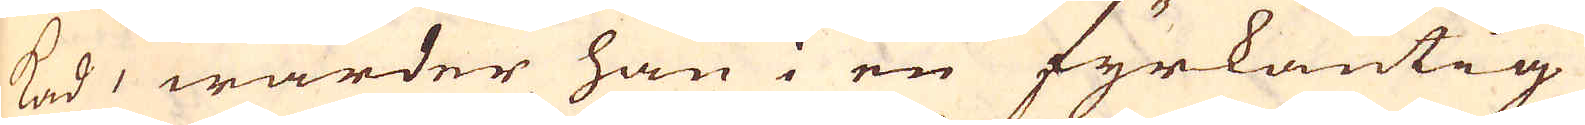kad, warder han i en fyrkantig
